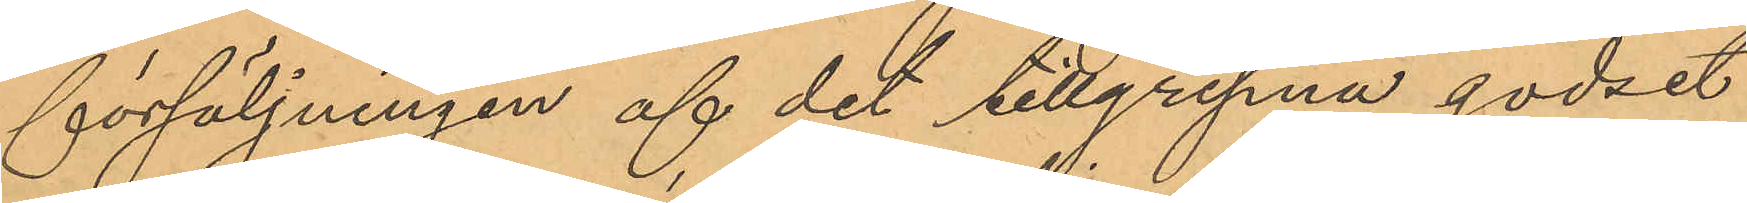försäljningen af det tillgripna godset
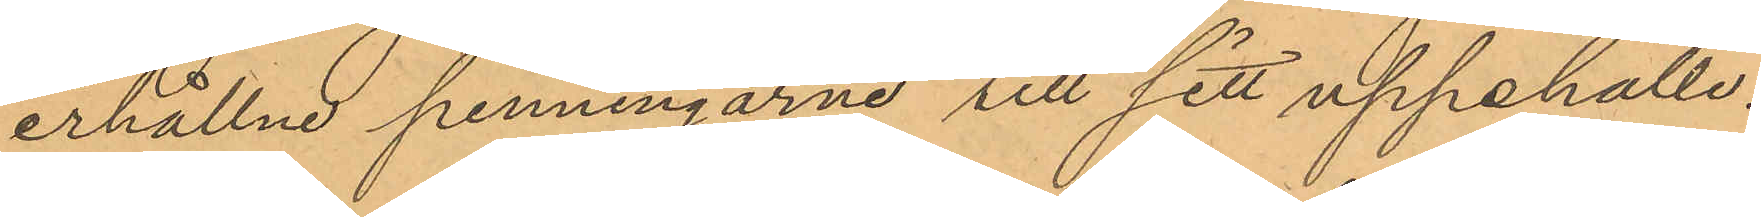erhållne penningarne till sitt uppehälle.
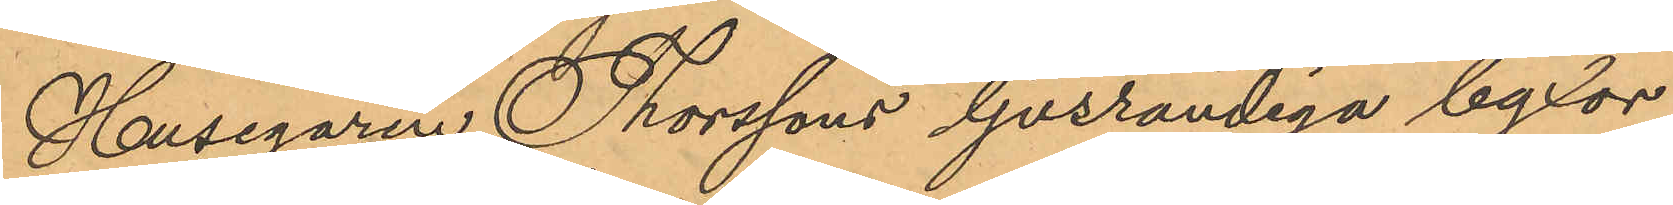Husegaren Thorssons ljusrandiga byxor
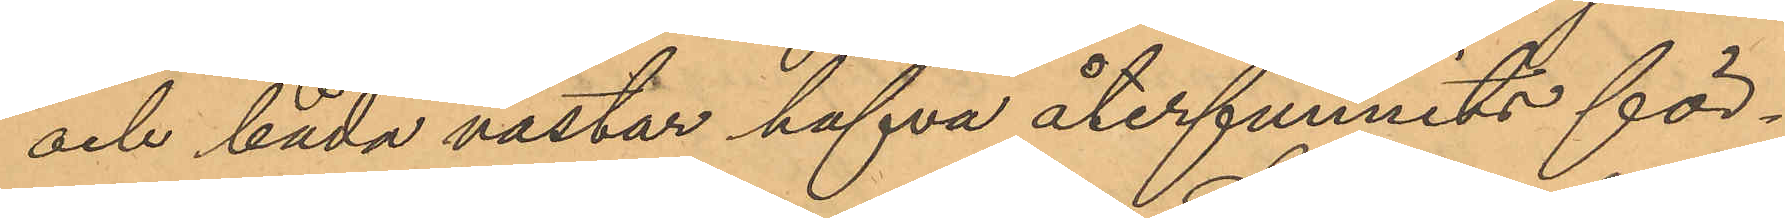och båda västar hafva återfunnits för¬
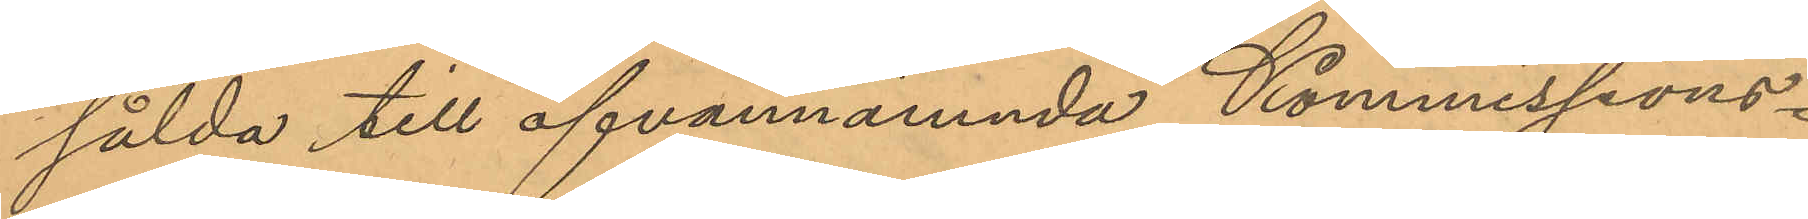sålda till ofvannämnda Kommissions¬
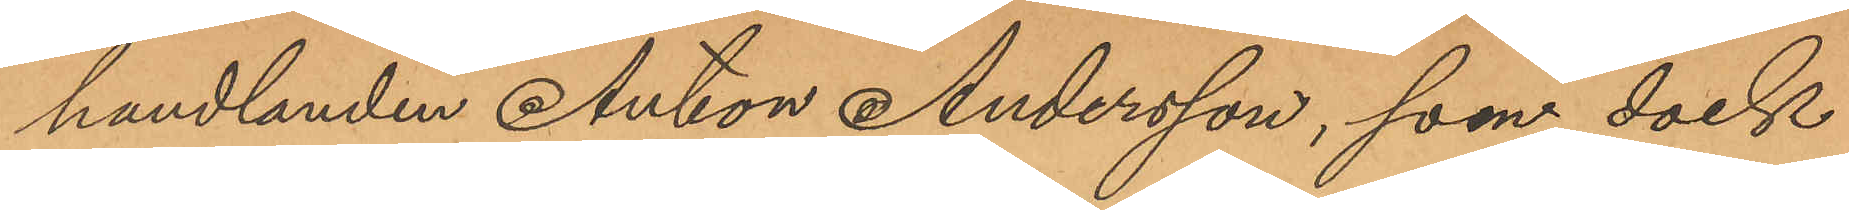handlanden Anton Andersson, som dock
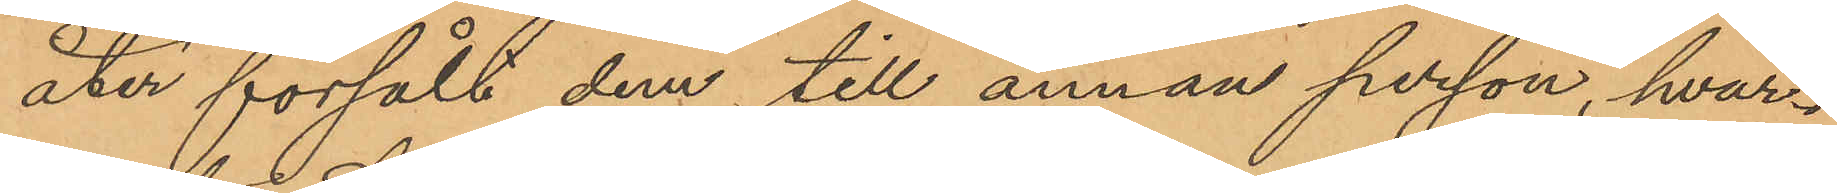åter försålt dem till annan person, hvar¬
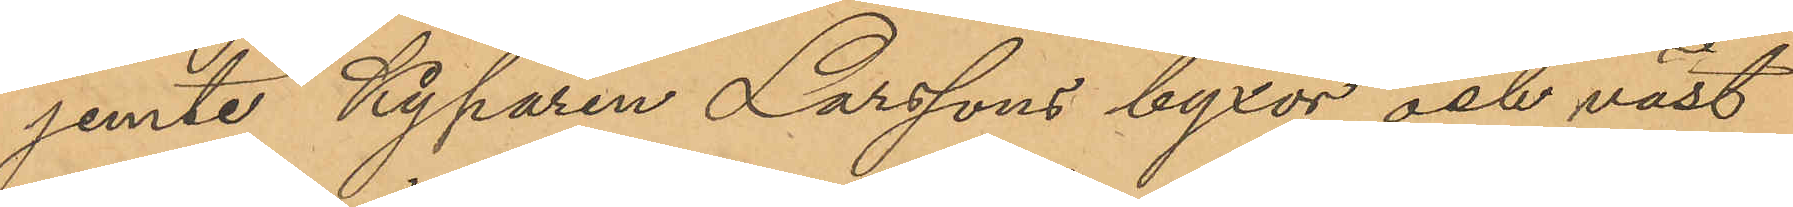jemte Kyparen Larssons byxor och väst
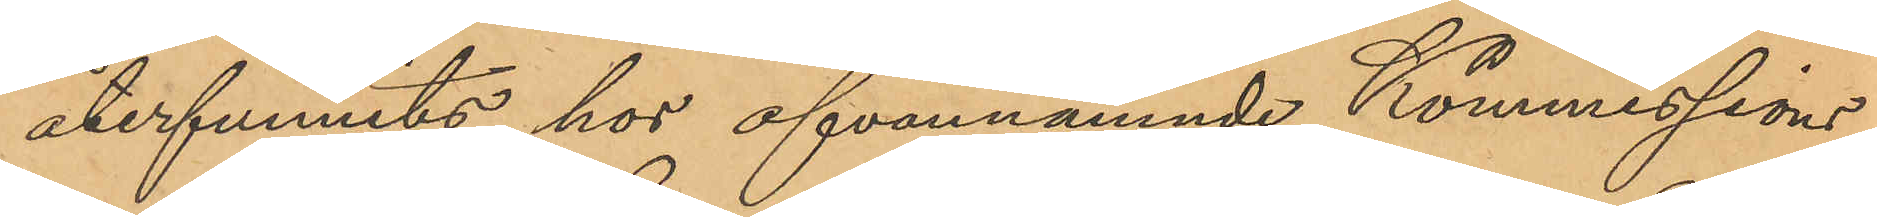återfunnits hos ofvannämnde Kommissions¬
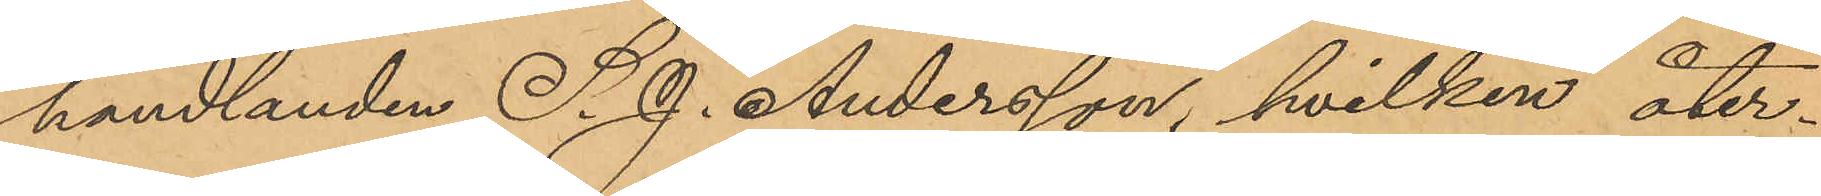handlanden S. J. Andersson, hvilken åter¬
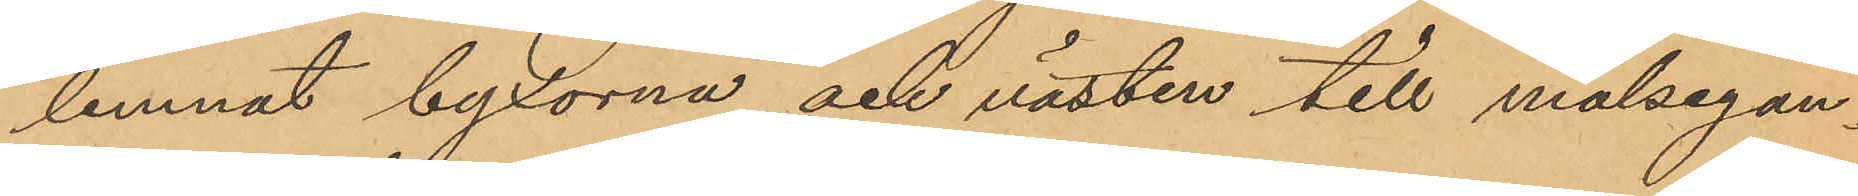lemnat byxorna och västen till målsegan¬
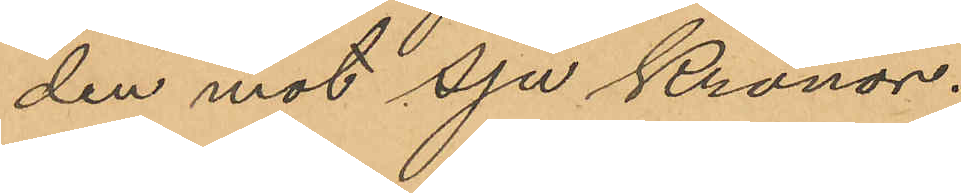den mot Sju Kronor.
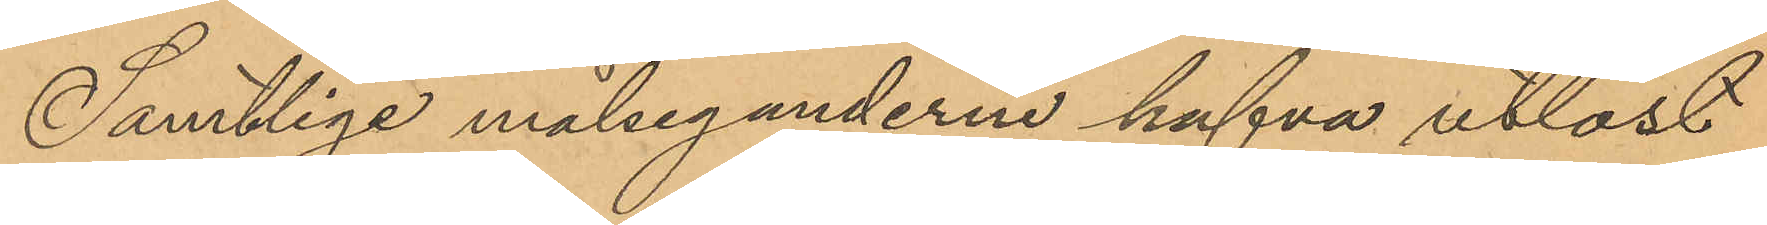Samtlige målseganderne hafva utlöst
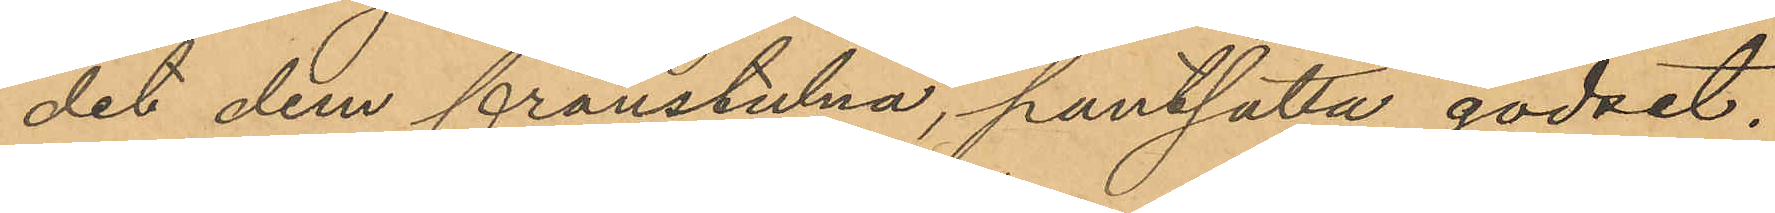det dem frånstulna, pantsatta godset.
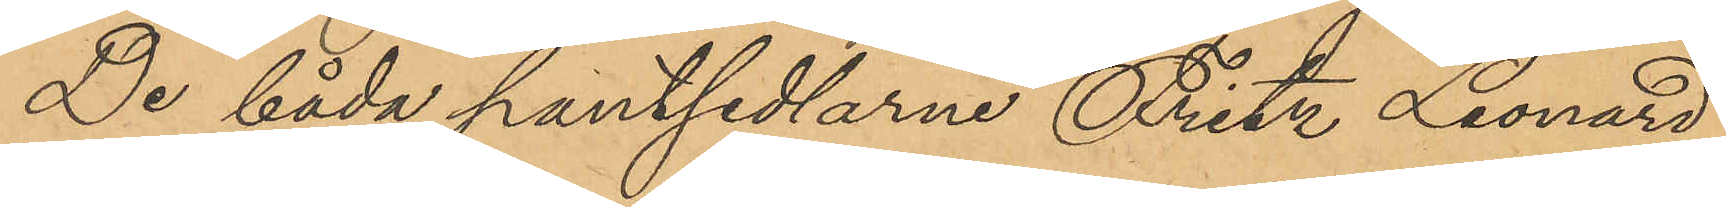De båda pantsedlarne Fritz Leonard
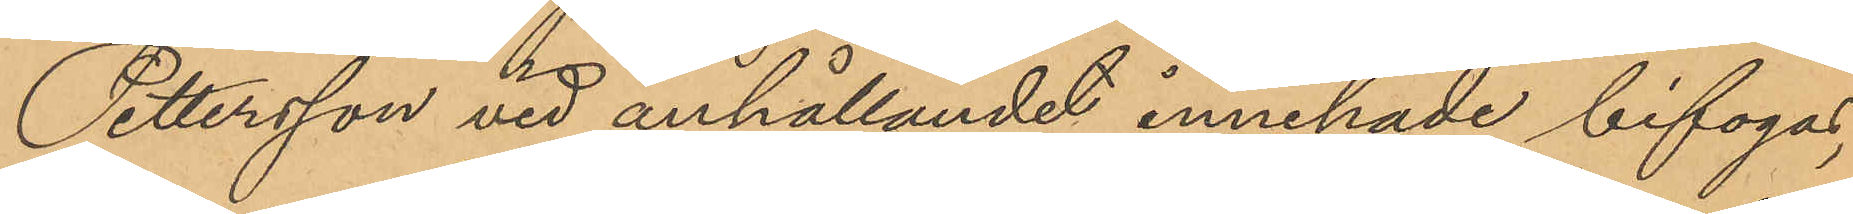Pettersson vid anhållandet innehade bifogas,
